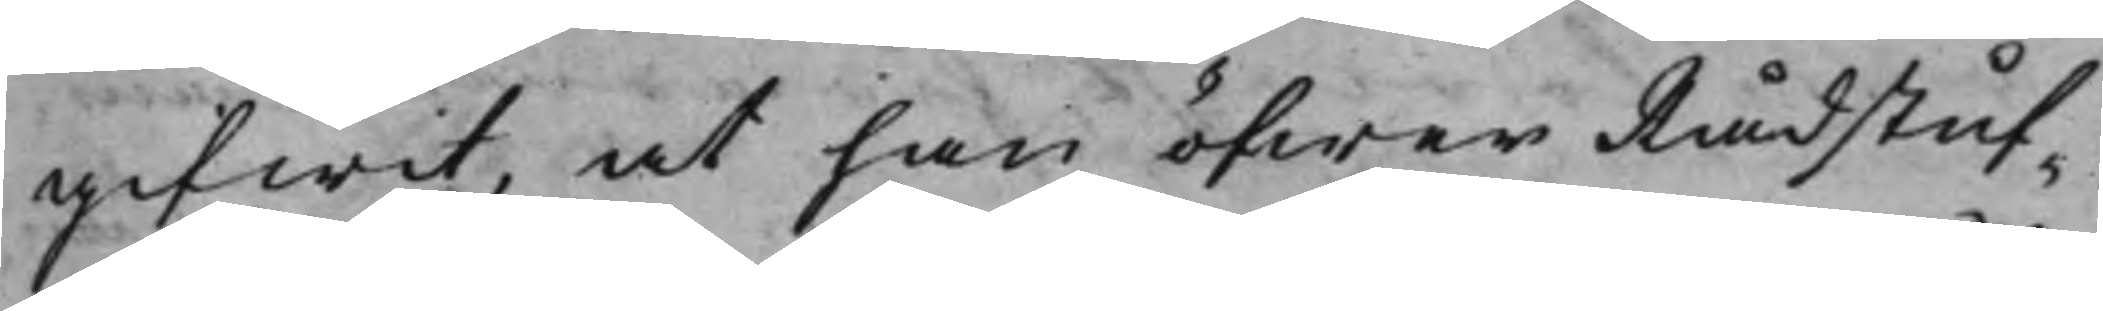gifwit, at han öfwer Rådstuf¬
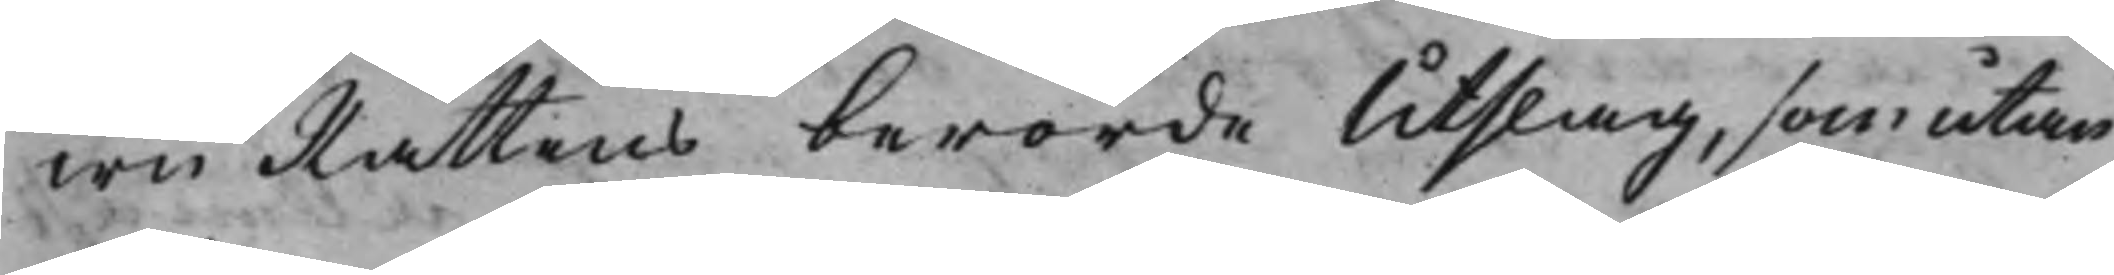wuRättens berörde Utslag, som utan
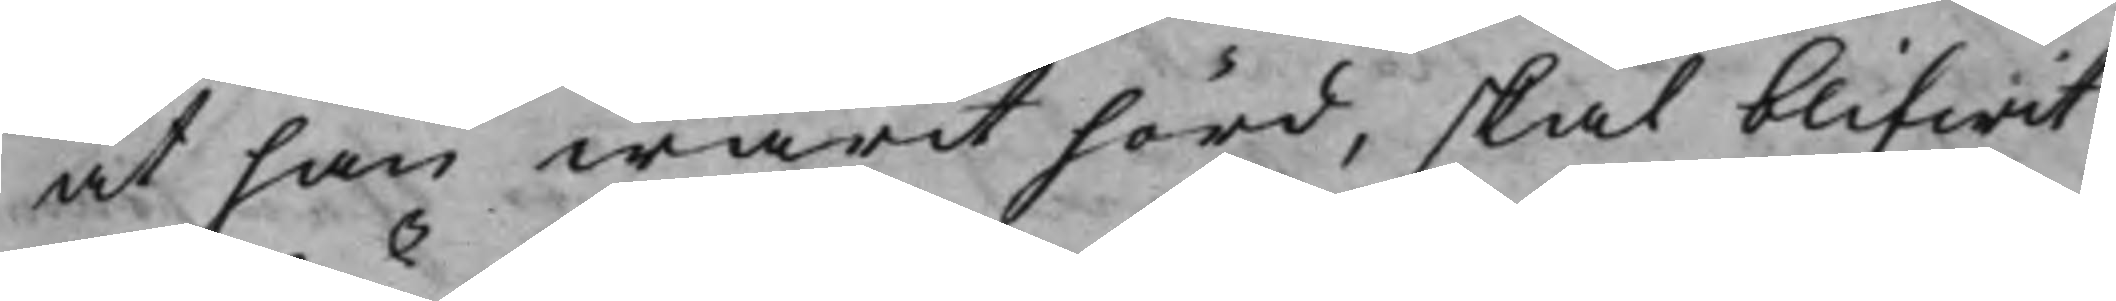at han warit hörd, skal blifwit
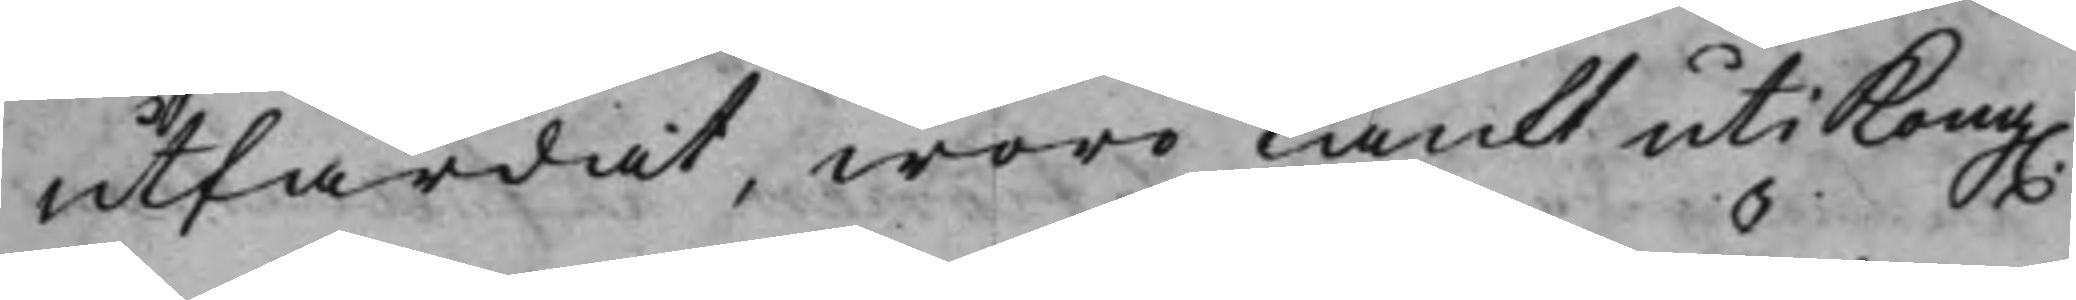utfärdat, woro tänkt uti Kong.
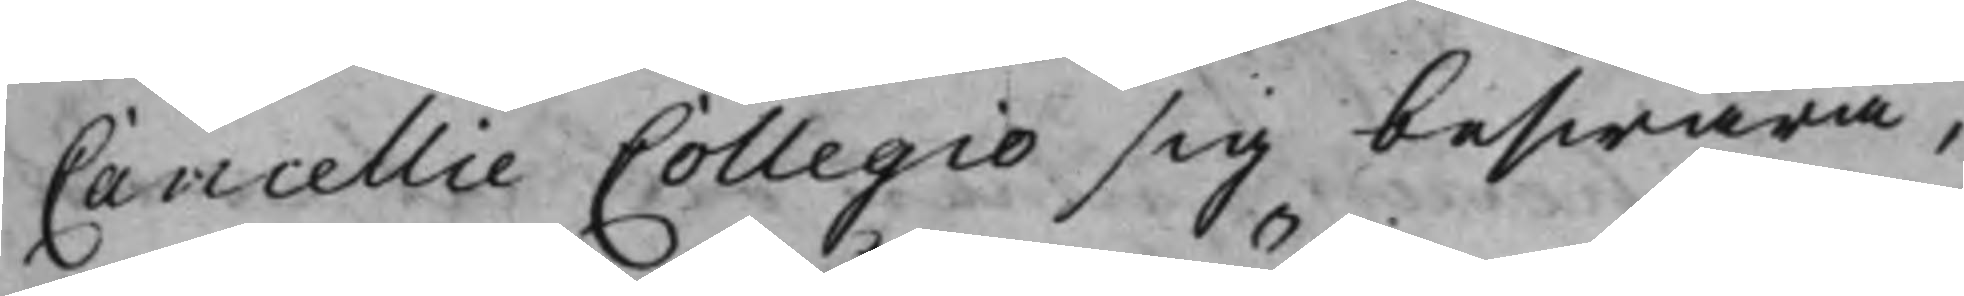Cancellie Collegio sig beswära,
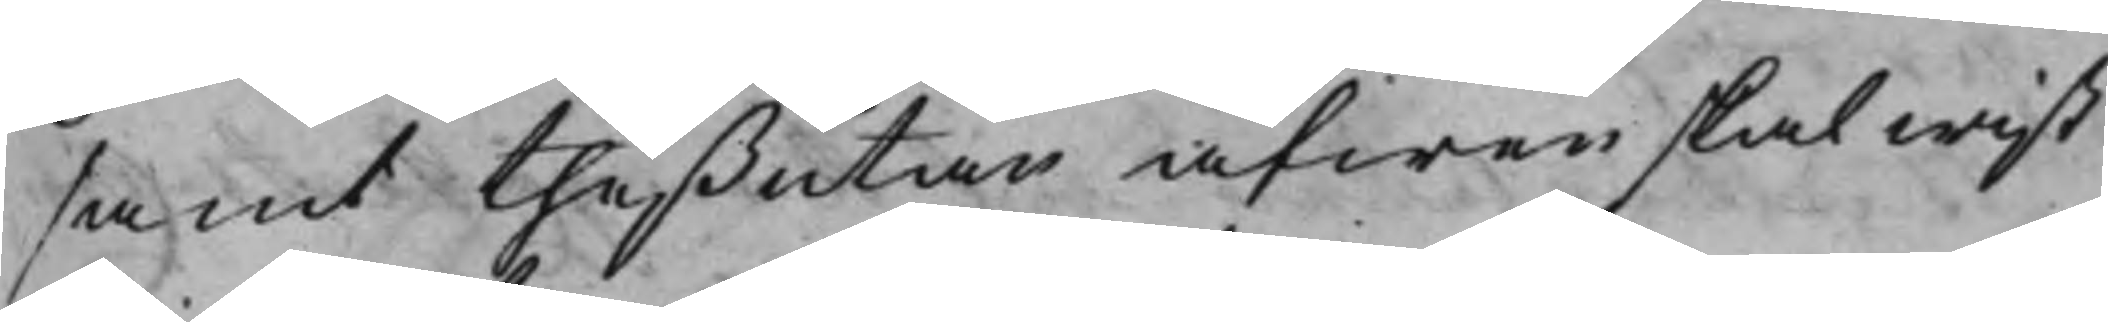samt theßutan äfwen skal wist
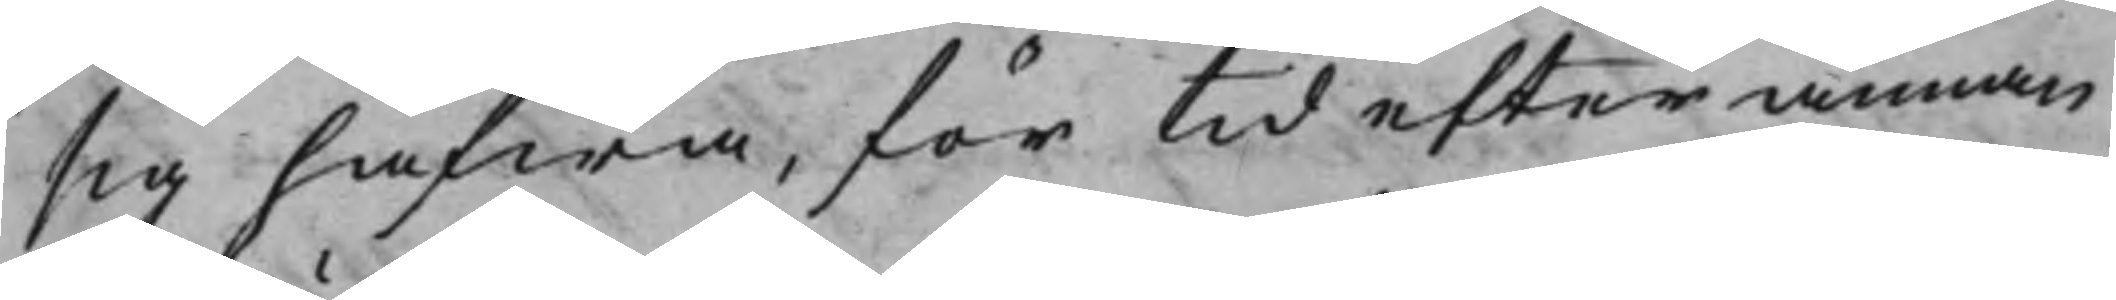sig hafwa, för tid efter annan
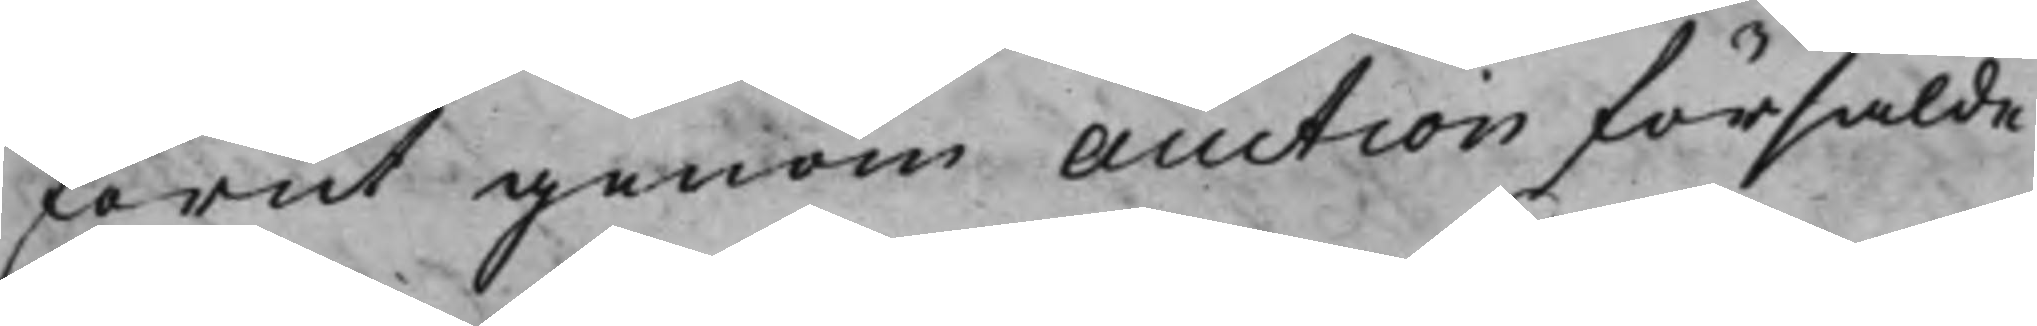förut genom Auction försålde
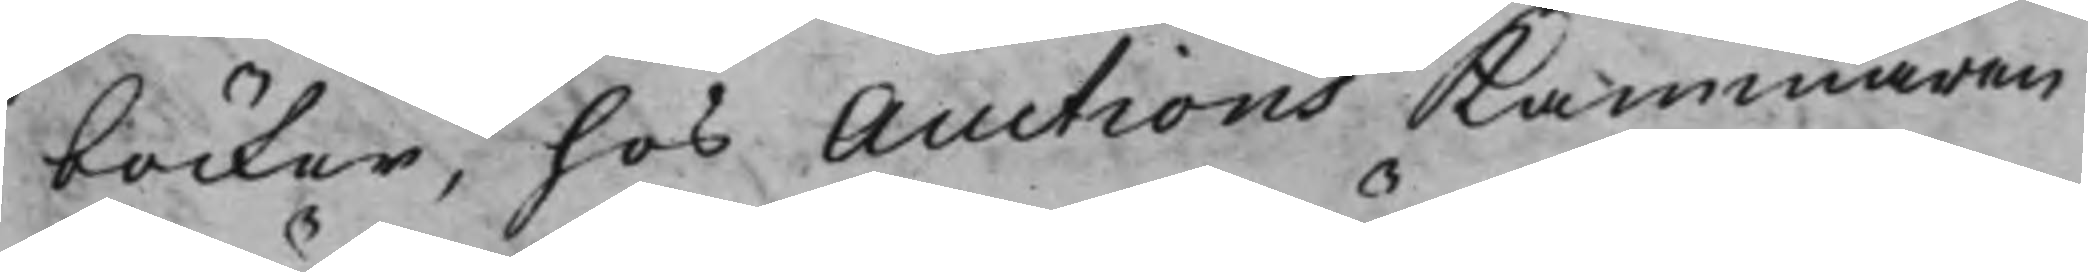böcker, hos Auctions Kammaren
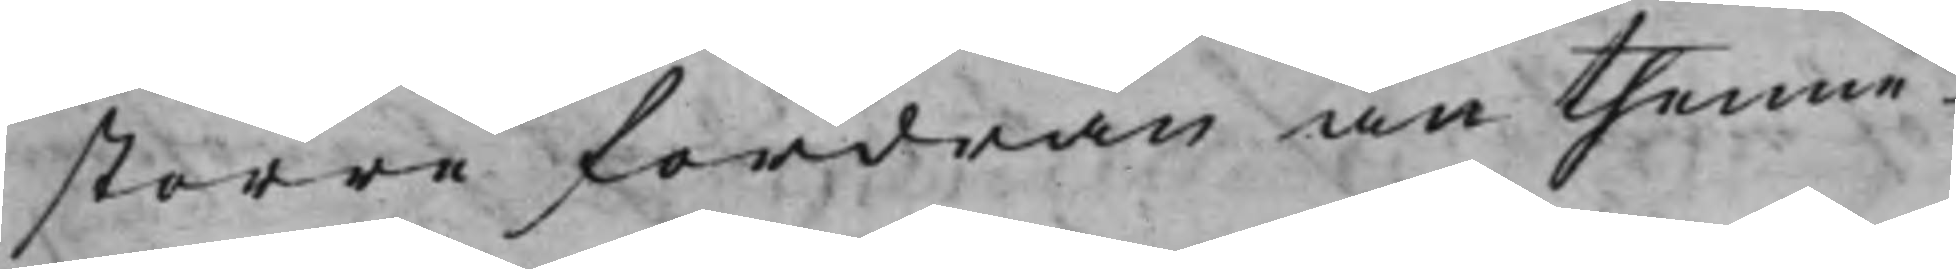större fordran än thenne
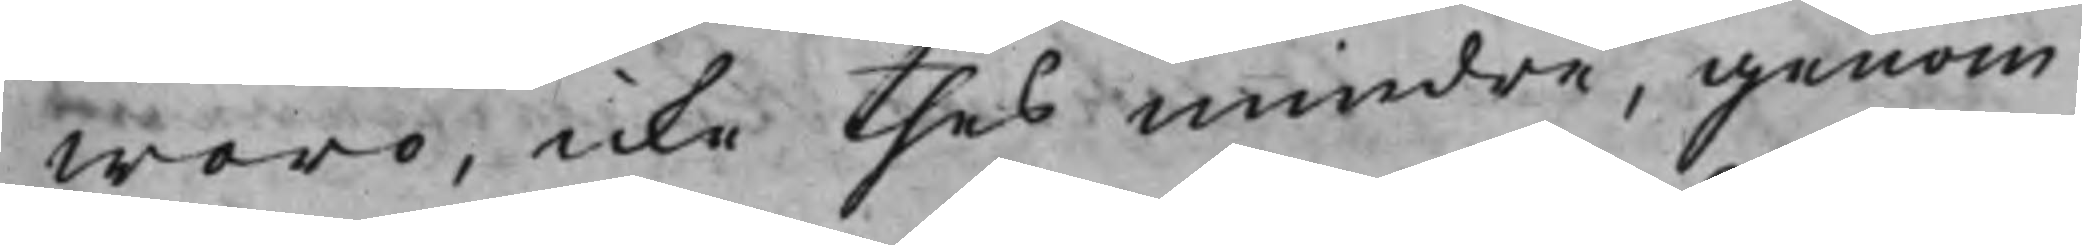woro, icke thes mindre, genom
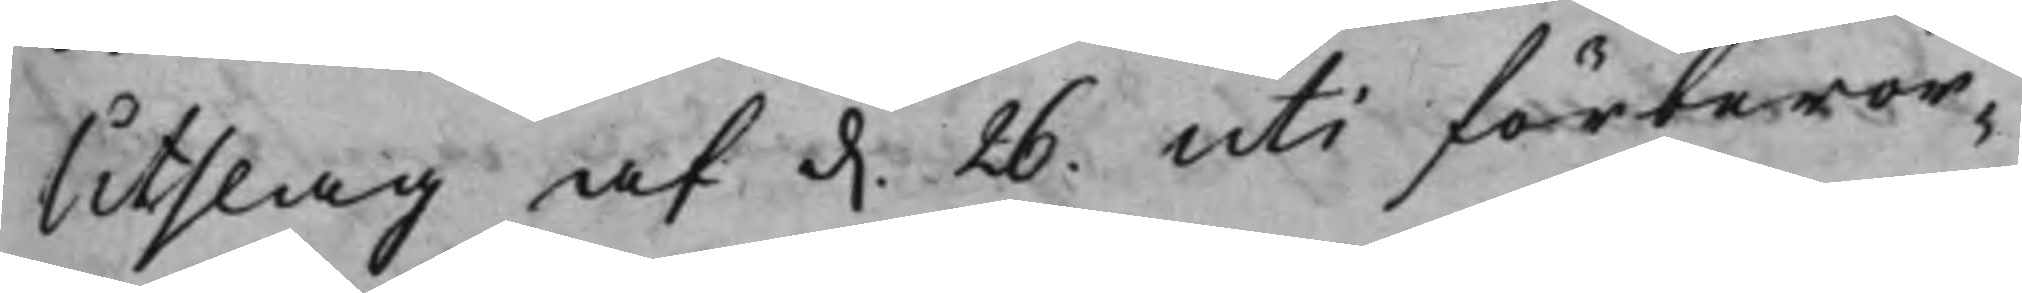Utslag af d. 26. uti förberör¬
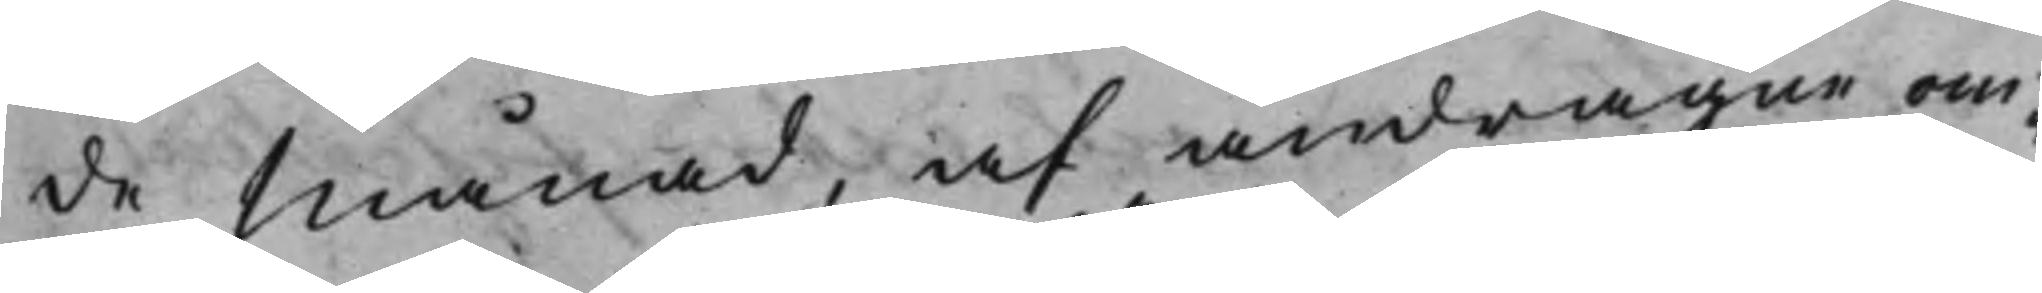de Månad, af andragne om¬
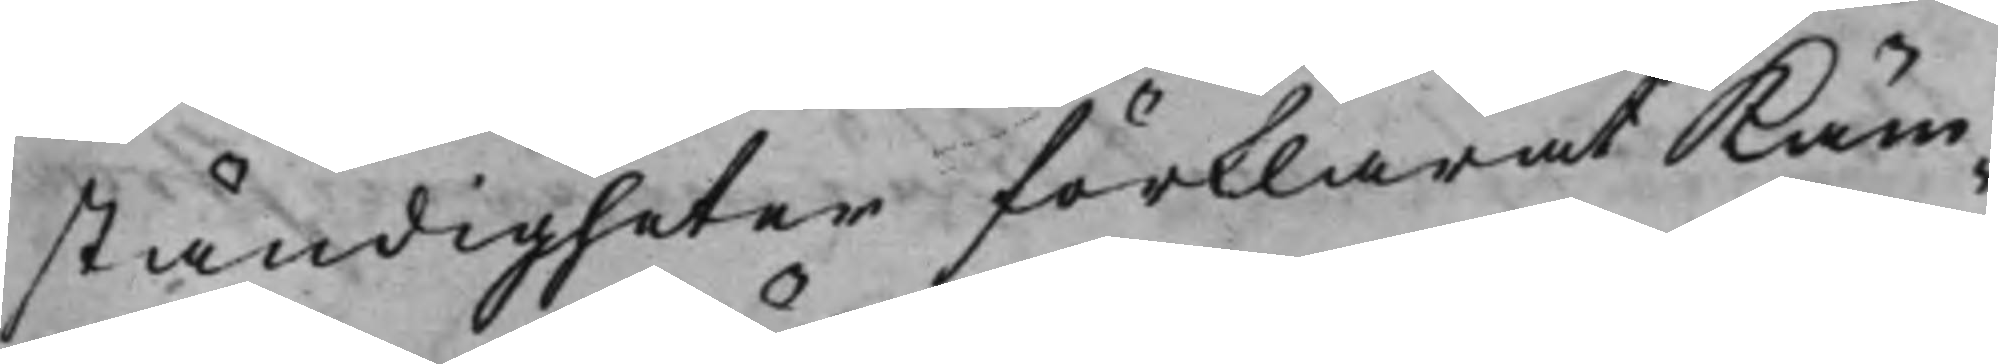ständigheter förklarat Käm¬
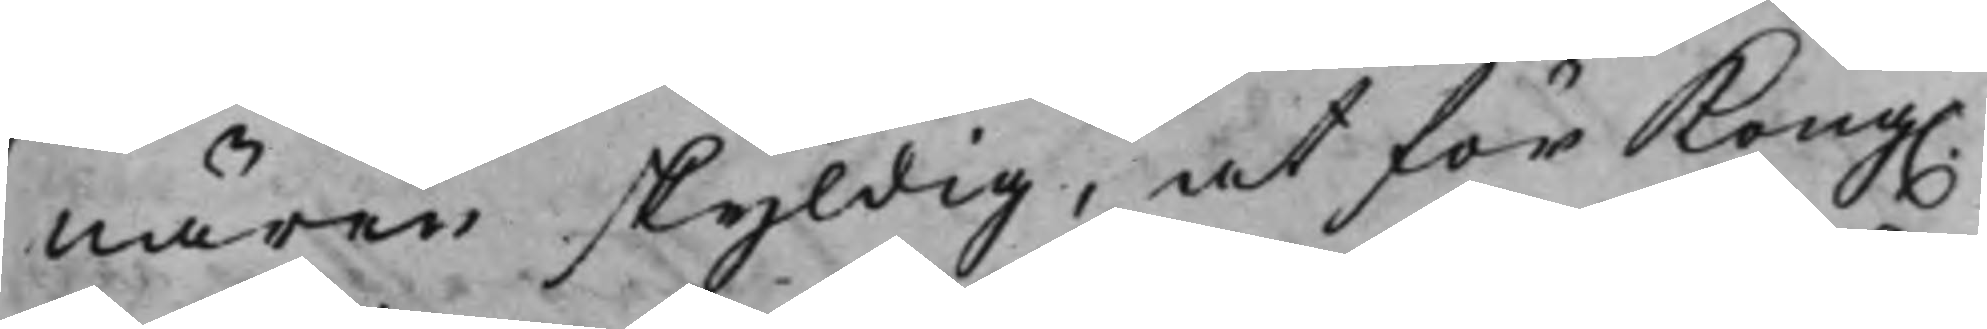nären skyldig, at för Kong.
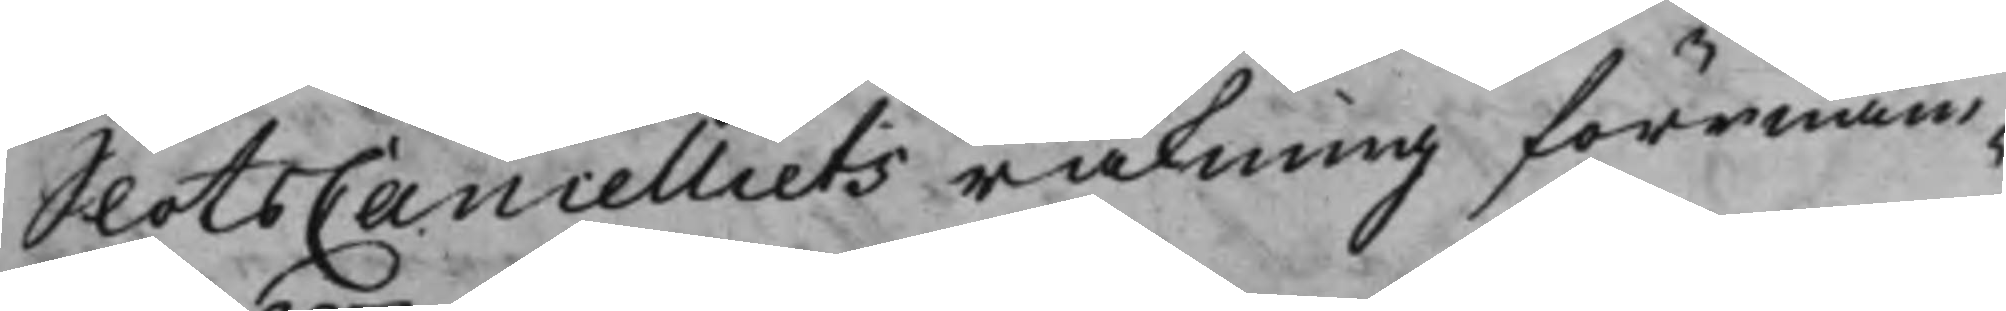SlotsCancelliets räkning förrnäm¬
